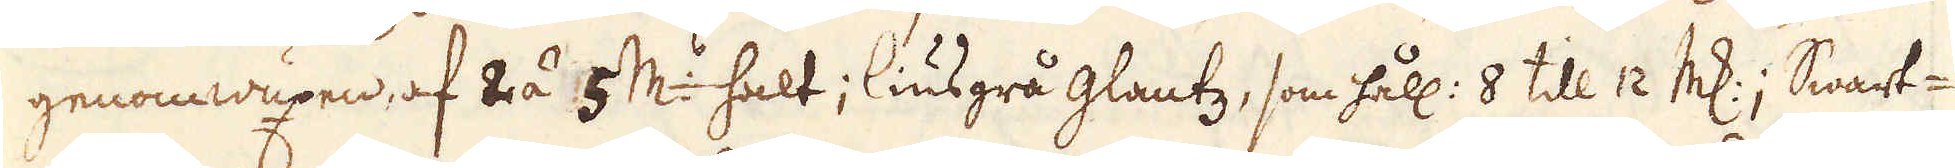genomwuxen, af 2 á 5 markers halt; liusgrå glantz, som håll: 8 till 12 marker; Swart-
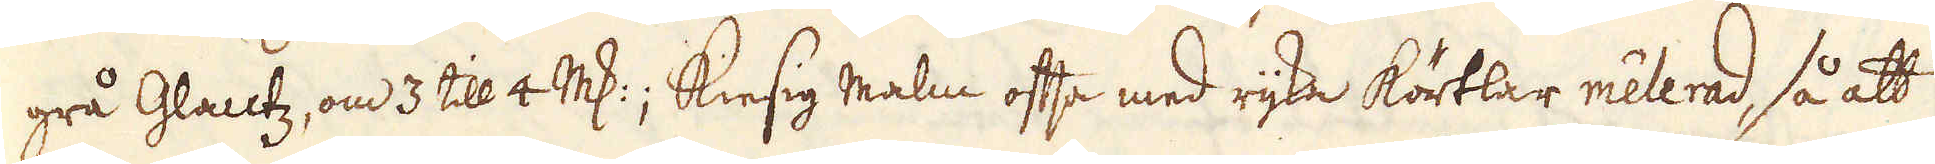grå Glantz, om 3 till 4 marker; Kiesig malm ofta med rijka körtlar melerad, så att
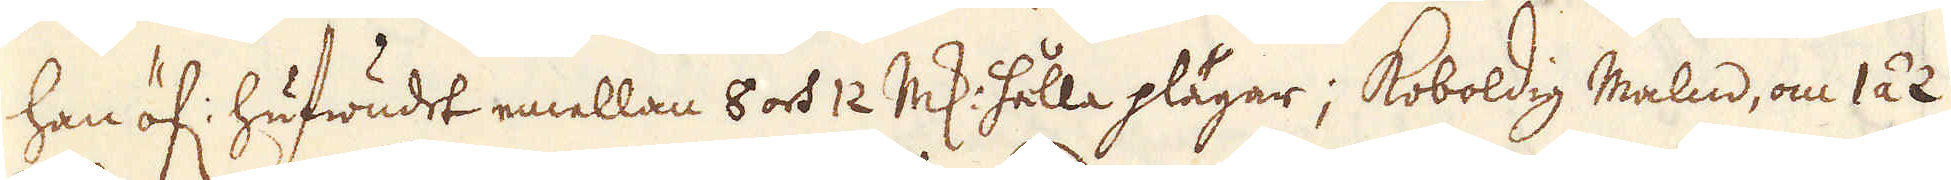han öf: hufwudet emellan 6 och 12 marker hålla plägar; Koboldig Malm, om 1 á 2
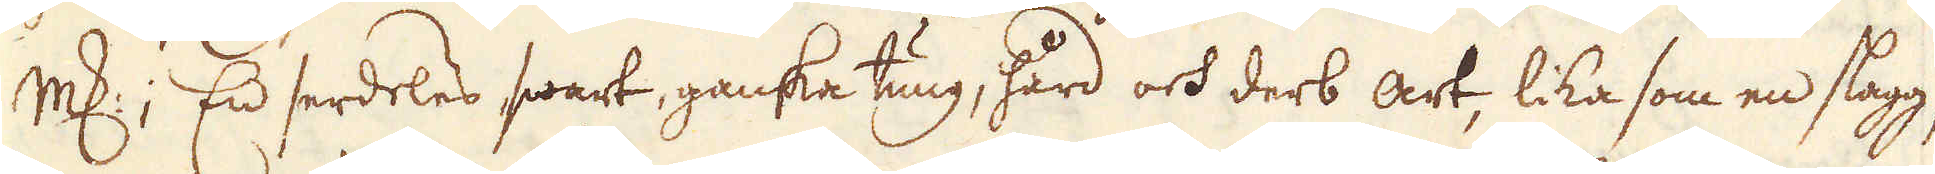marker; En serdeles swart, ganska tung, hård och derb art, lika som en slagg,
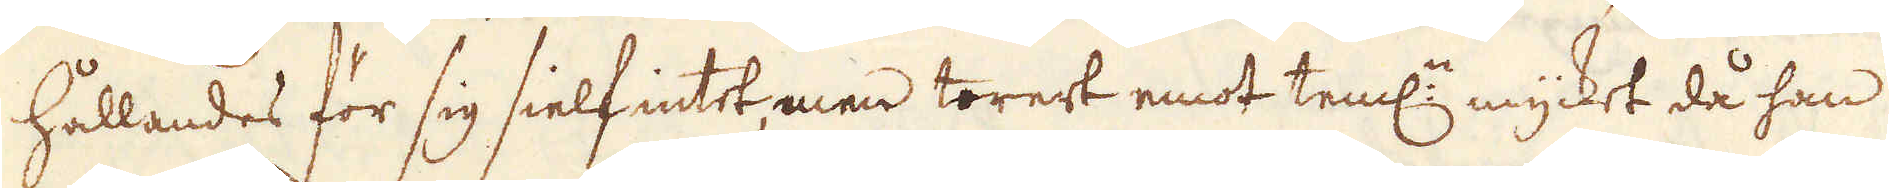hållandes för sig sielf intet men torert emot teml: mycket då han
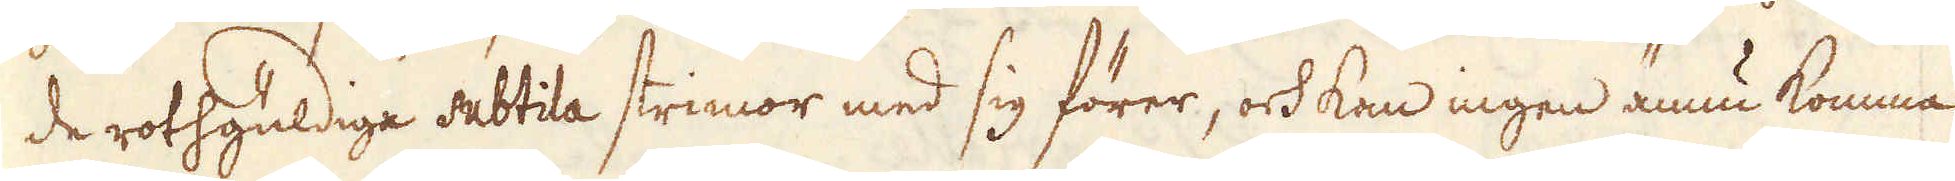de rothgüldige subtila strimor med sig förer, ock kan ingen ännu komma
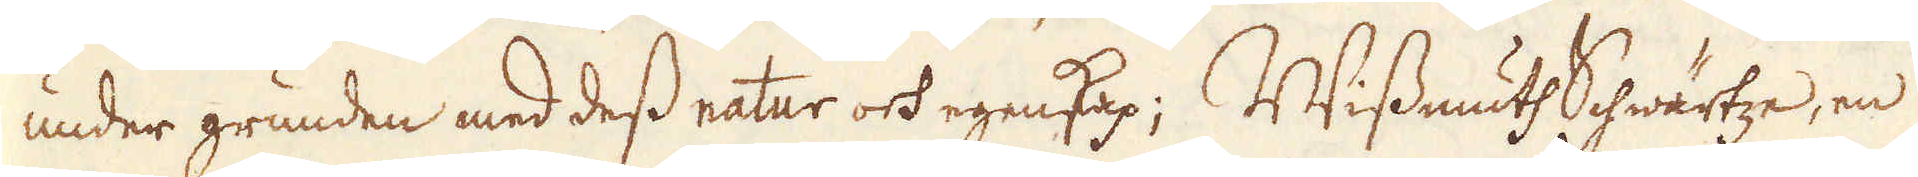under grunden med dess natur och egenskap; WissmuthSchwärtze, en
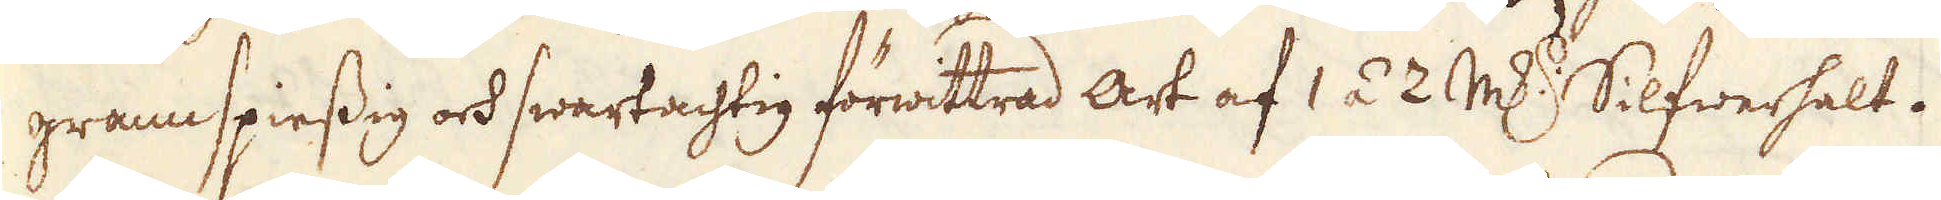grannspiessig och swartachtig förwittrad art af 1 á 2 marker Silfwerhalt.
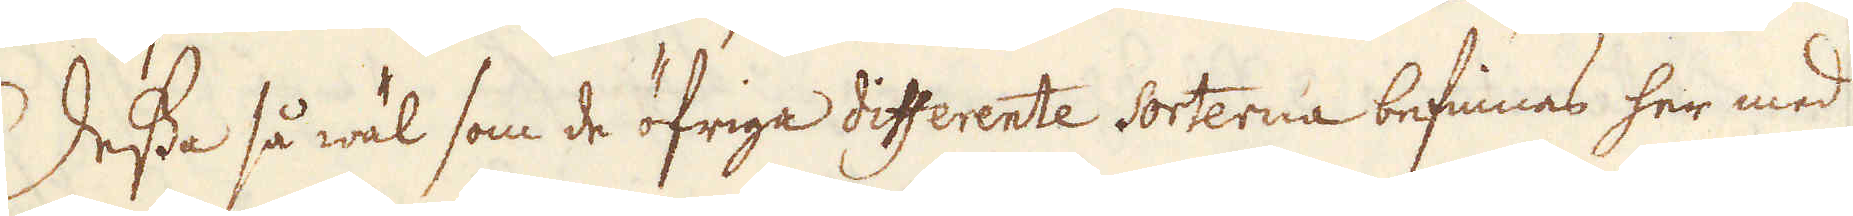Dessa så wäl som de öfriga differente sorterna befinnas her med
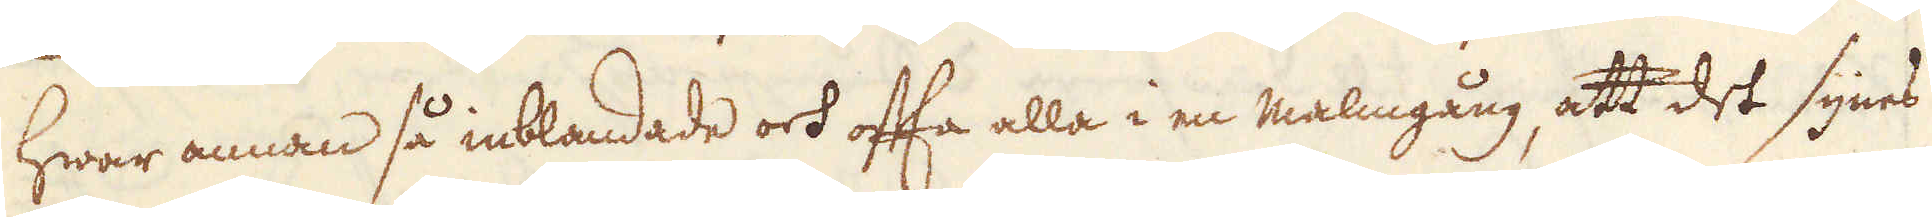hwar annan så inblandade och ofta alla i en malmgång, att det synes
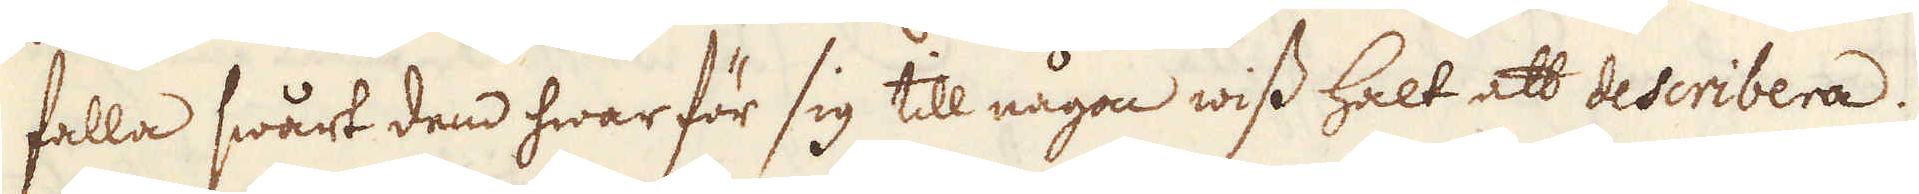falla swårt dem hwar för sig till någon wiss halt att describera.
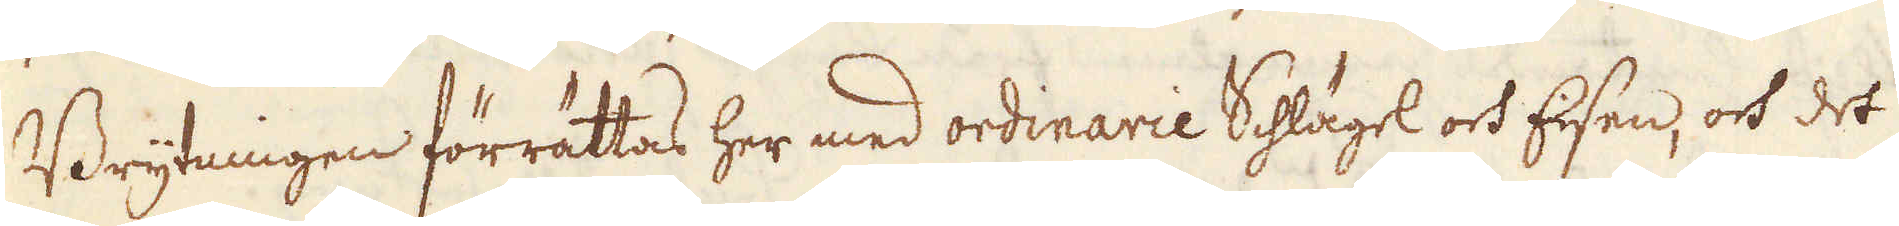Brytningen förrättas her med ordinarie Schlägel och Eisen, och det
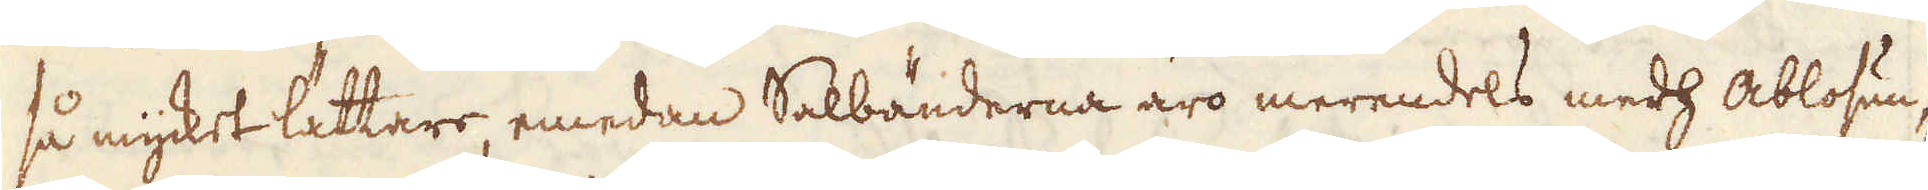så mycket lättare, emedan Salbänderna äro merendels medh Ablosun-
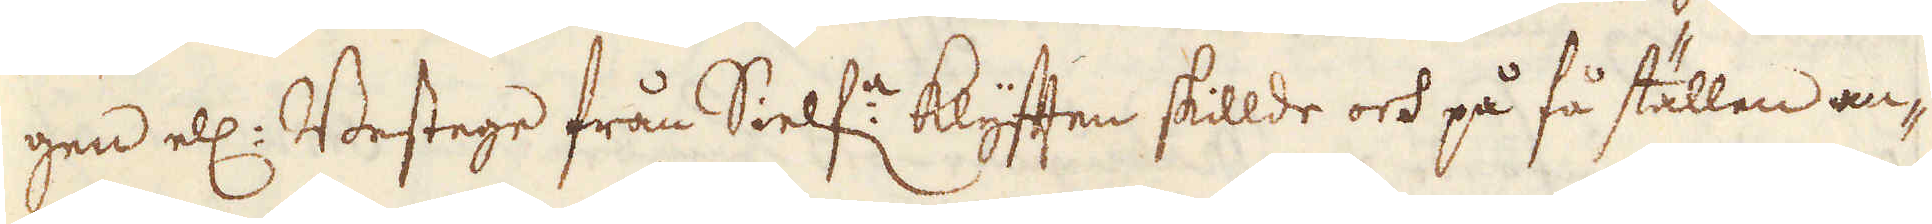gen ell: Bestege från Sielf:e klyften skillde och på få ställen an-
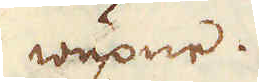wuxne.
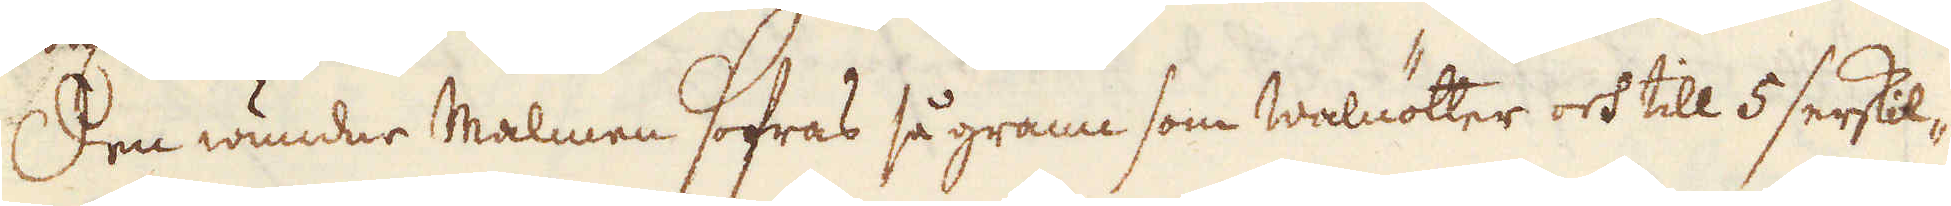Den wundne Malmen sofras så grann som walnötter och till 5 serskil-
